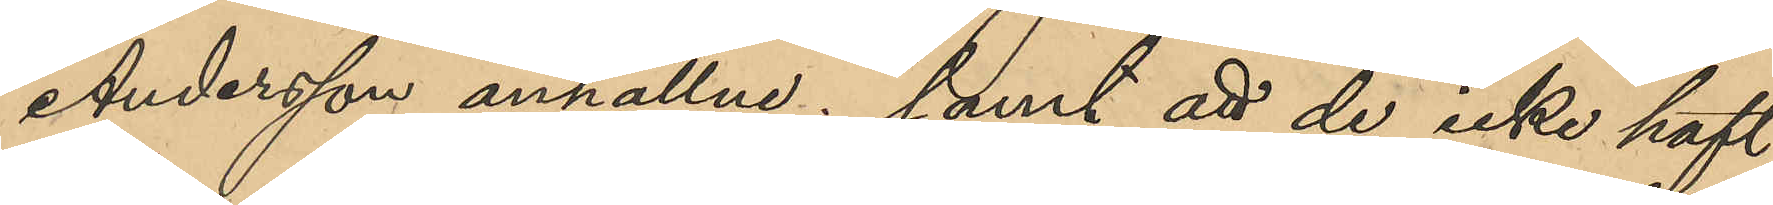Andersson anhållne; samt att de icke haft
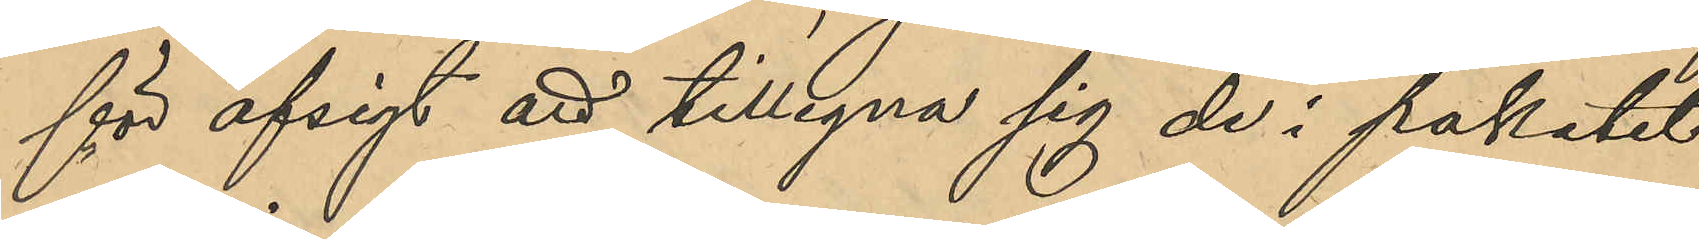för afsigt att tillegna sig de i paketet
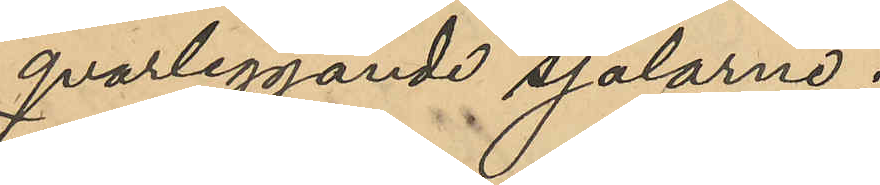qvarliggande sjalarne;
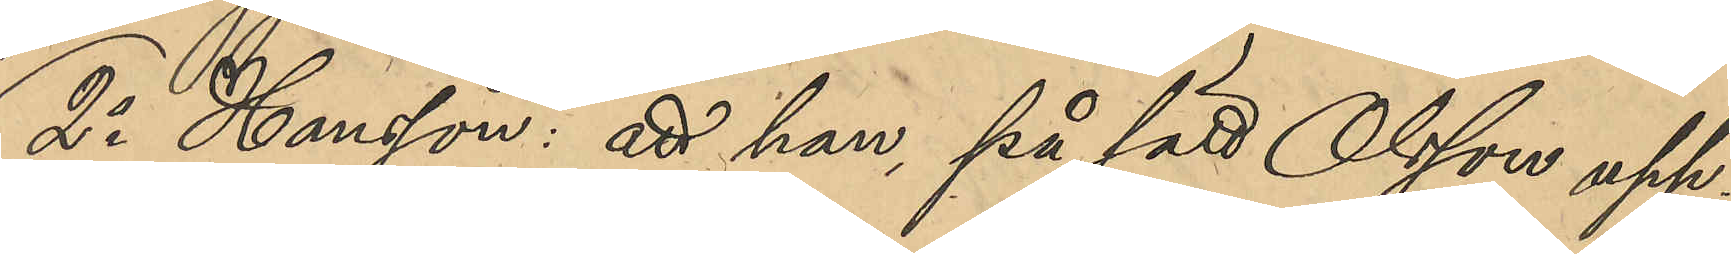2o Hansson: att han på sätt Olsson upp¬
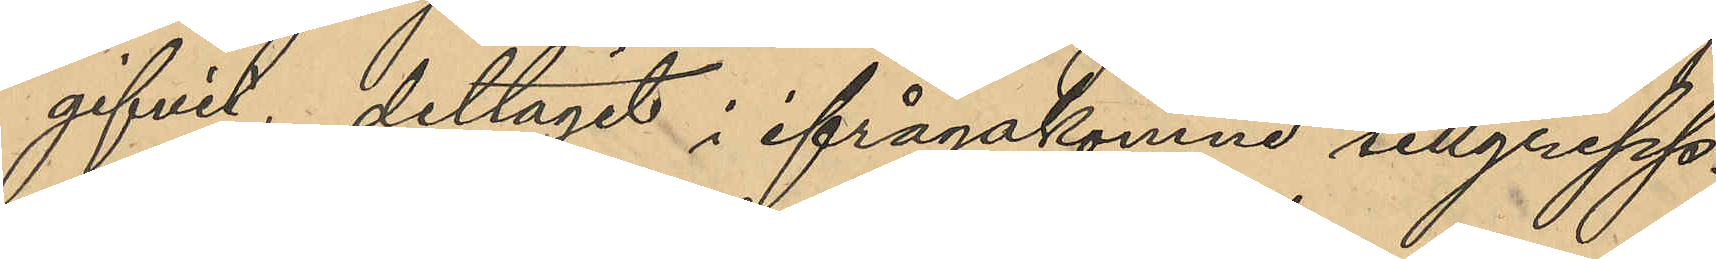gifvit, deltagit i ifrågakomne tillgrepp.
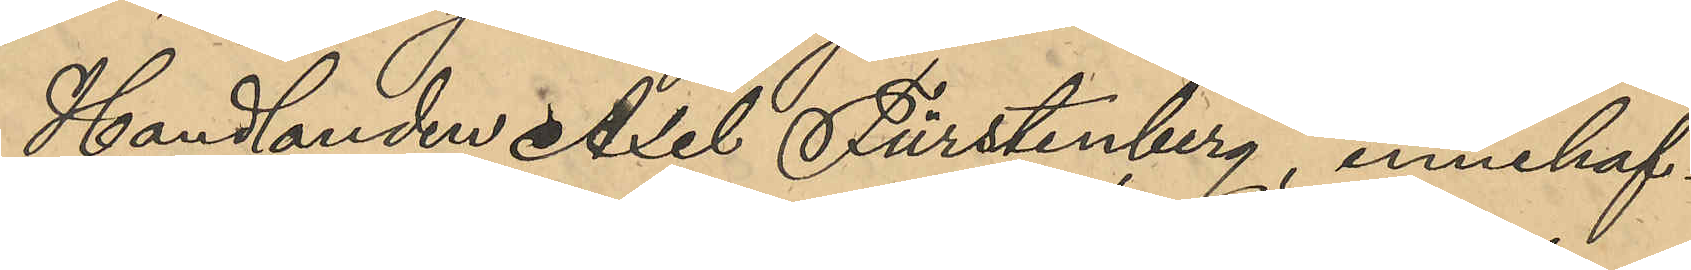Handlanden Axel Fürstenberg, innehaf¬
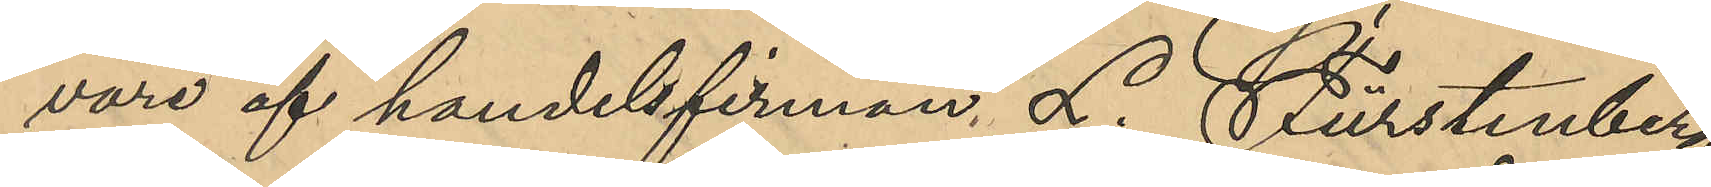vare af handelsfirman L. Fürstenberg
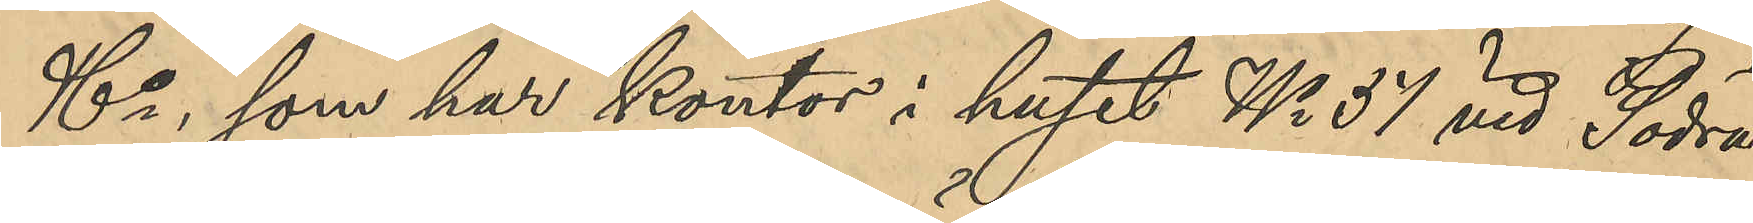& Co, som har kontor i huset No 37 vid Södra
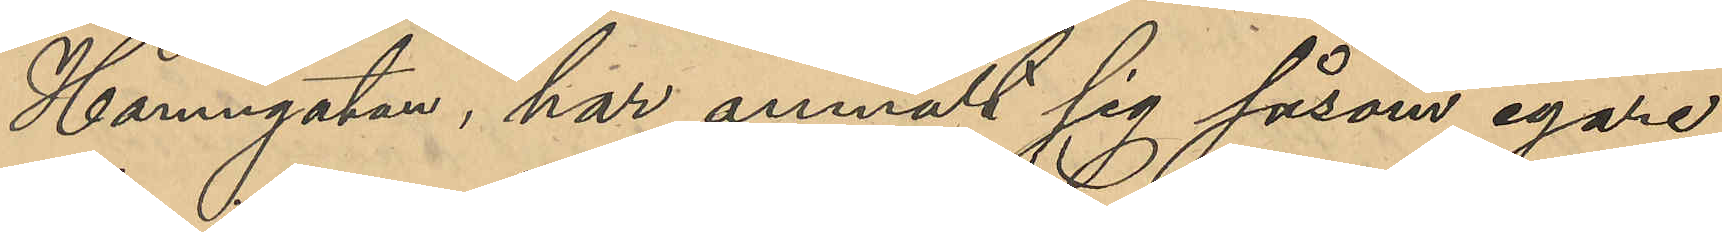Hamngatan, har anmält sig såsom egare
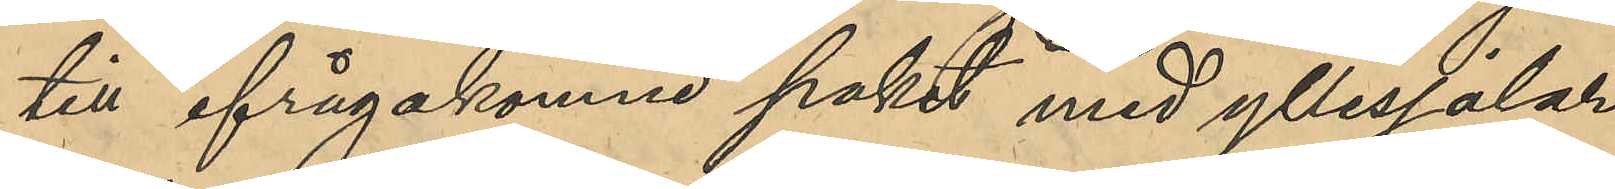till ifrågakomne paket med yllesjalar,
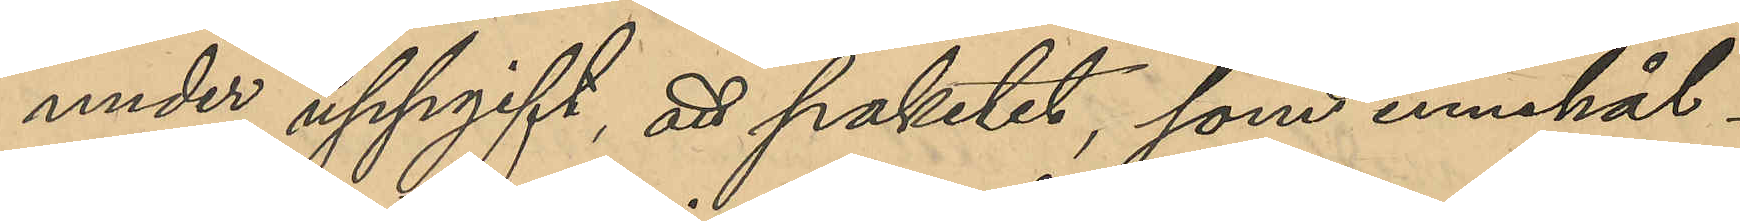under uppgift, att paketet, som innehål¬
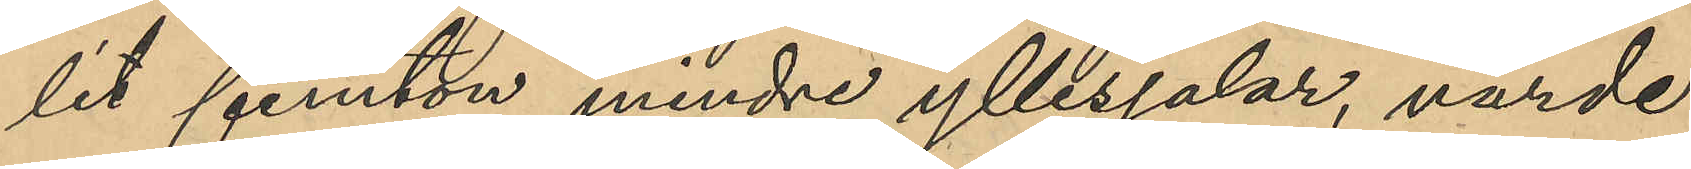lit femton mindre yllesjalar, värde
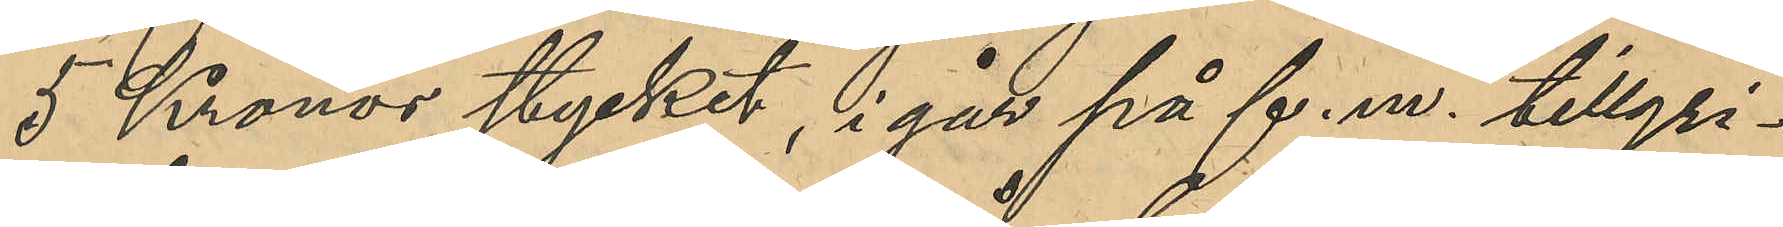5 Kronor stycket, i går på f. m. tillgri¬
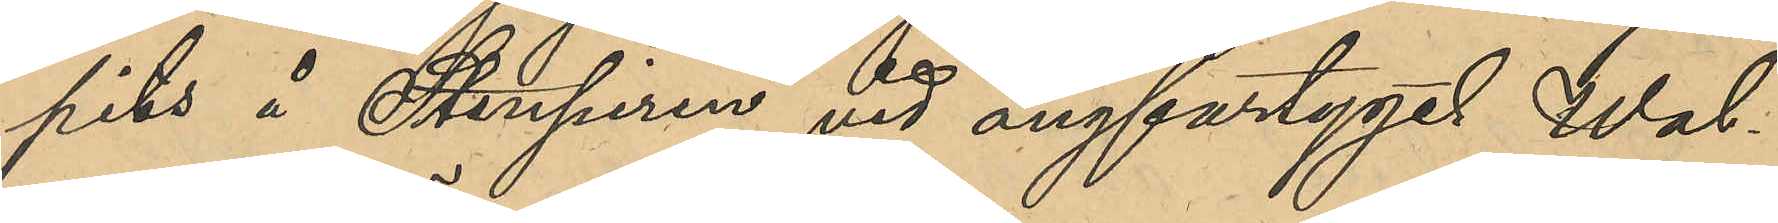pits å Stenpiren vid ångfartyget Wal¬
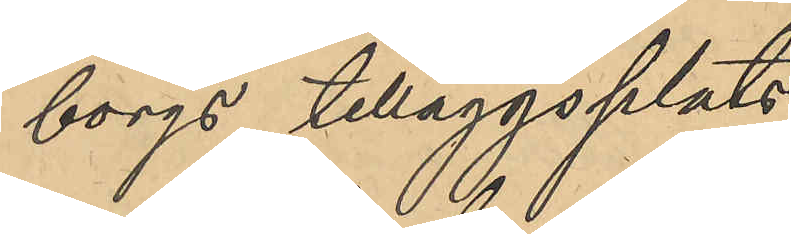borgs tilläggsplats.
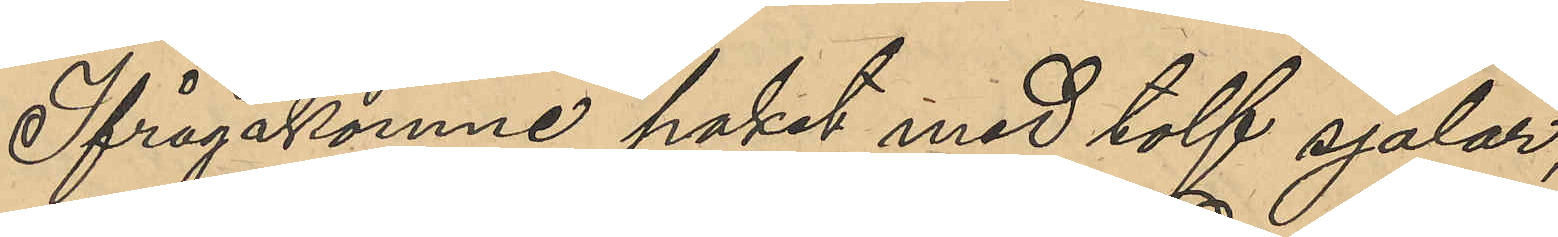Ifrågakomne paket med tolf sjalar,
